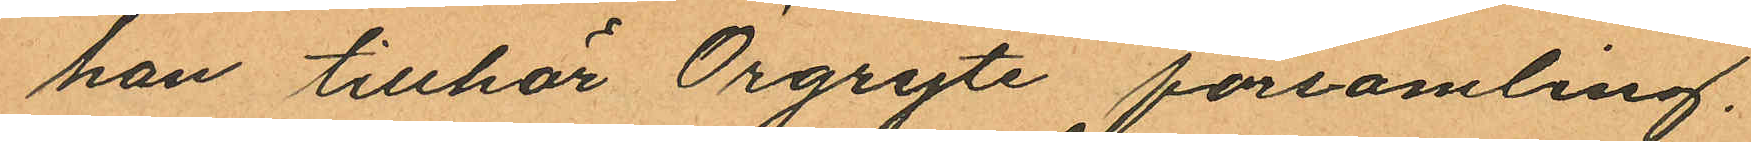han tillhör Örgryte församling.
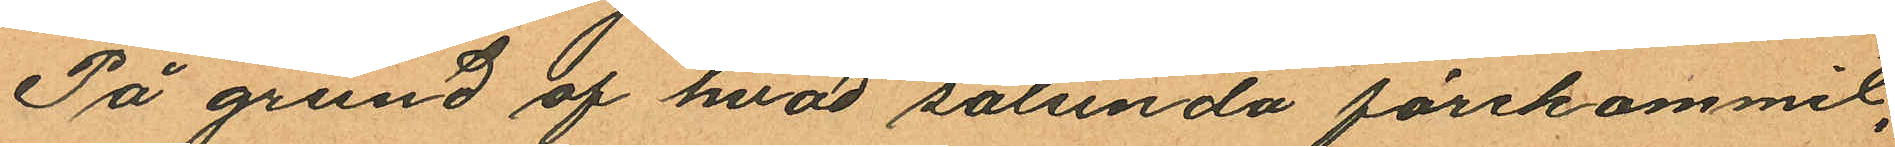På grund af hvad sålunda förekommit,
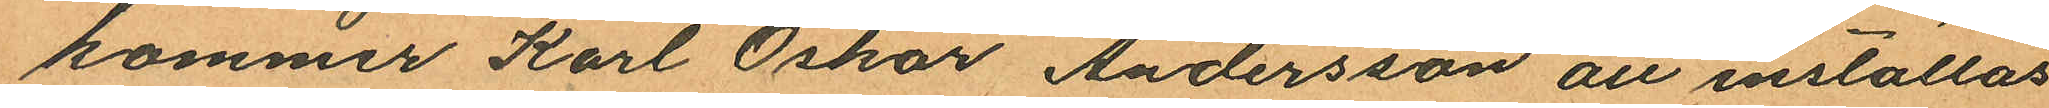kommer Karl Oskar Andersson att inställas
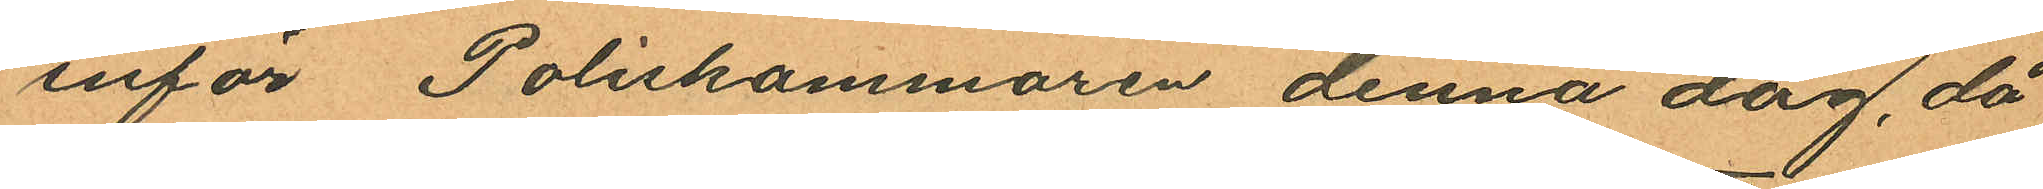inför Poliskammaren denna dag, då
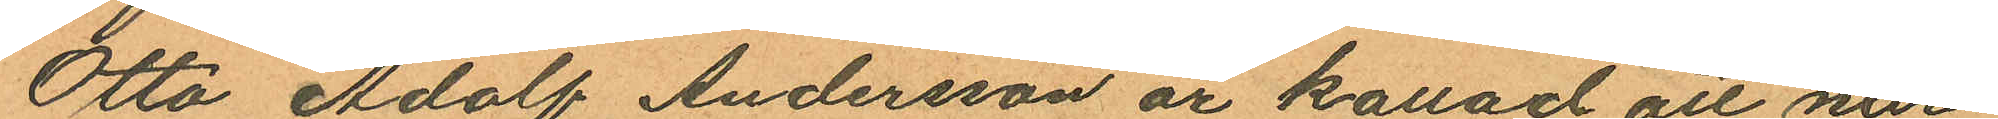Otto Adolf Andersson är kallad att när¬
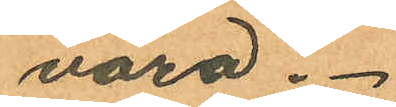vara.
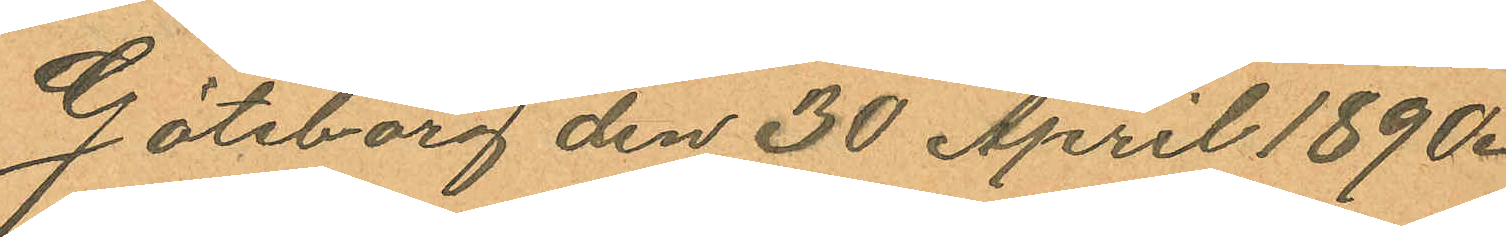Göteborg den 30 April 1890.
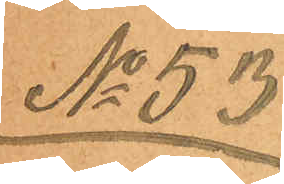No 53
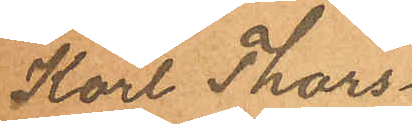Karl Thors¬
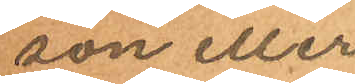son eller
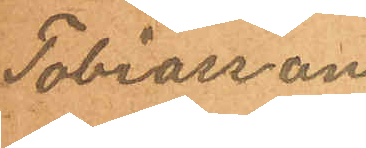Tobiasson
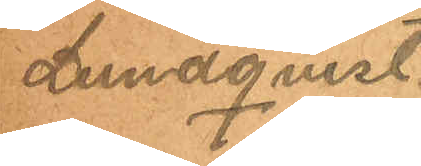Lundqvist.
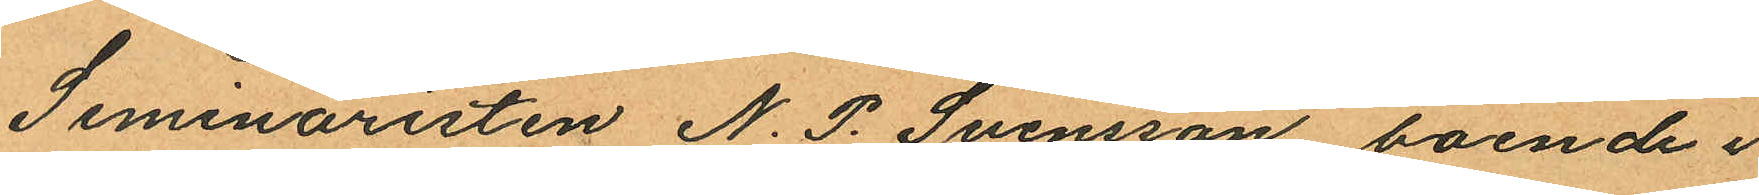Seminaristen N. P. Svensson boende i
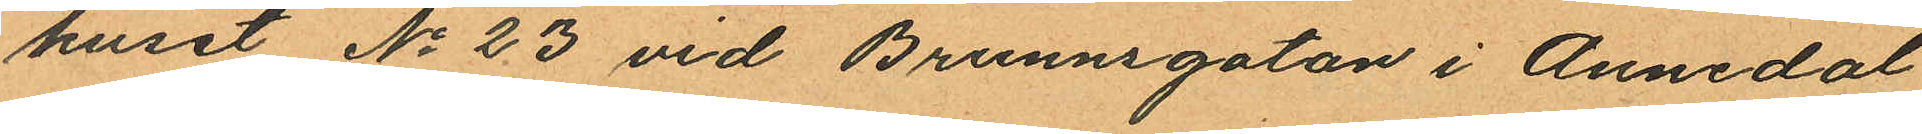huset No 23 vid Brunnsgatan i Annedal
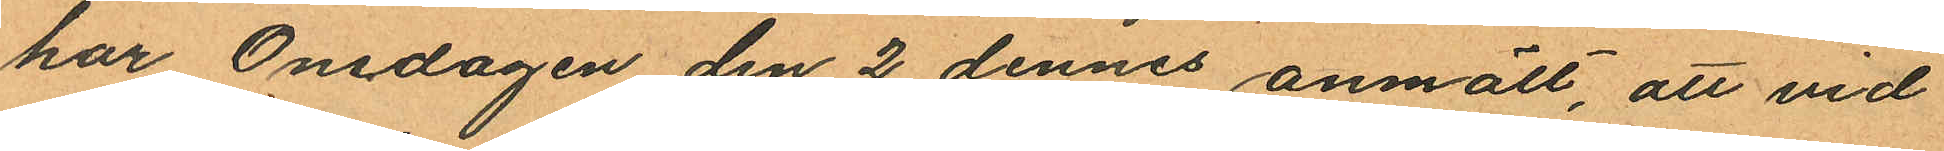har Onsdagen den 2 dennes anmält, att vid
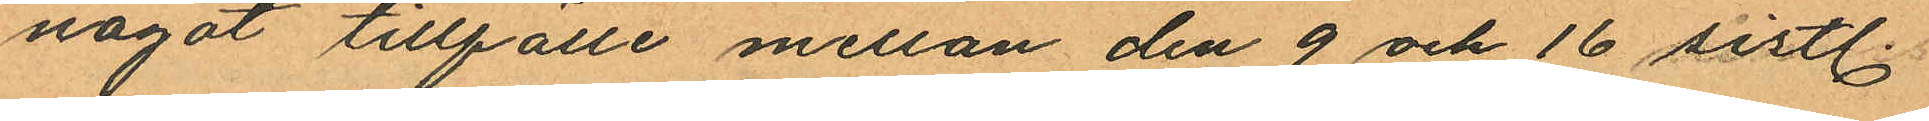något tillfälle mellan den 9 och 16 sistl.
